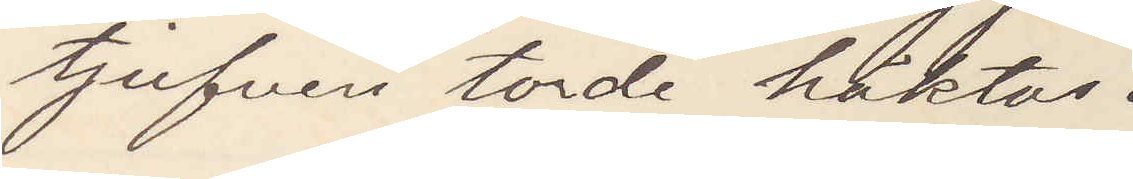tjufven torde häktas.
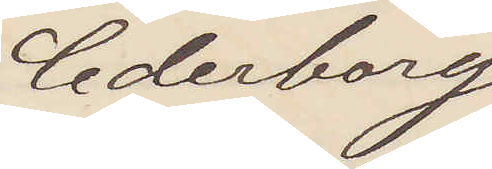Cederborg
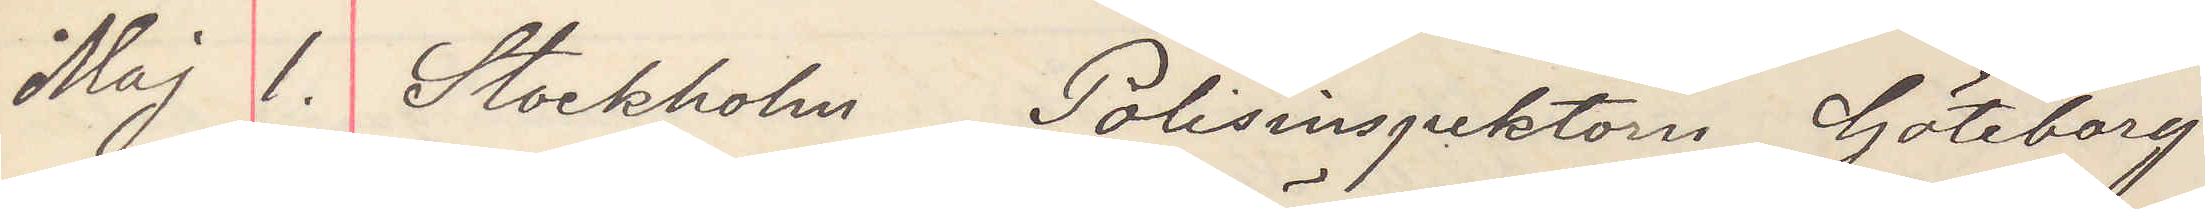Maj 1. Stockholm Polisinspektorn Göteborg
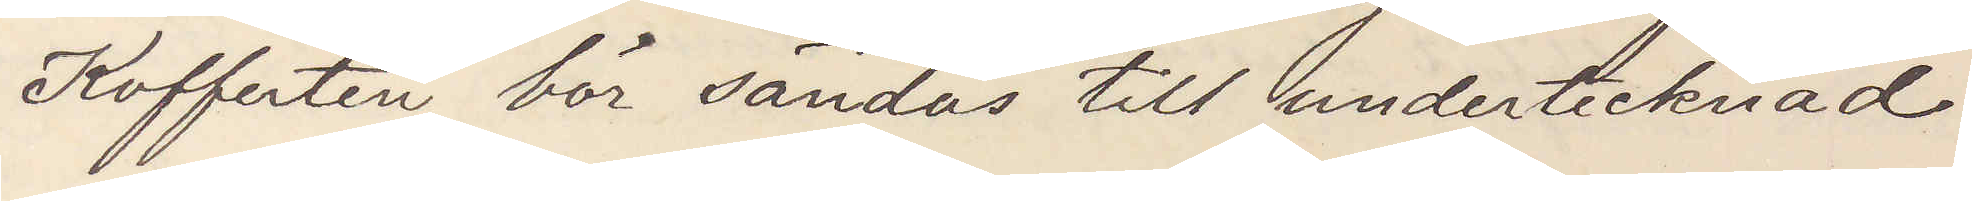Kofferten bör sändas till undertecknad
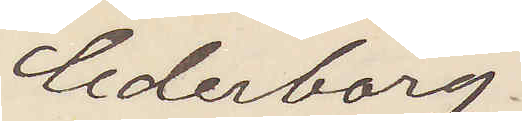Cederborg.
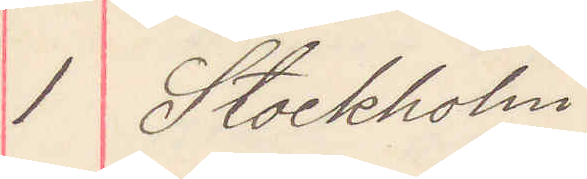1 Stockholm
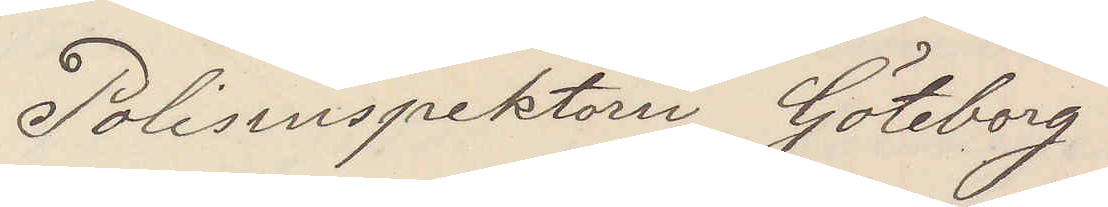Polisinspektorn Göteborg
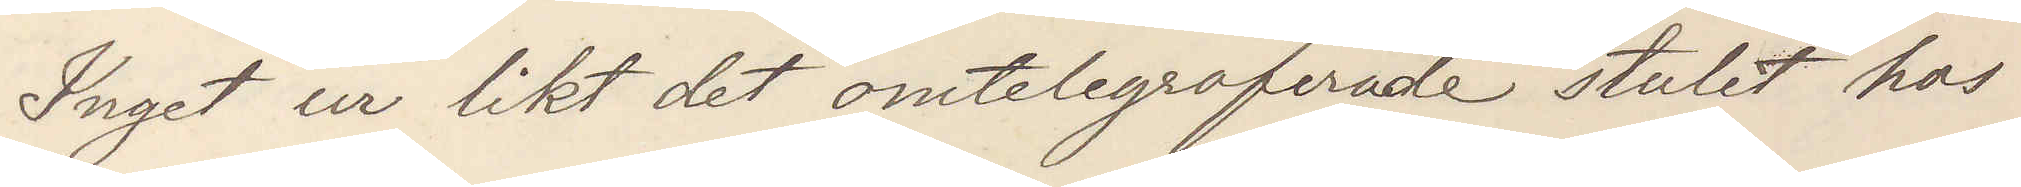Inget ur likt det omtelegraferade stulet hos
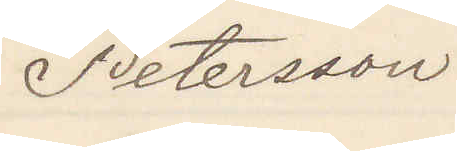Petersson
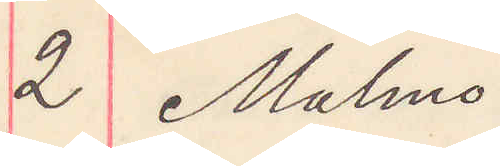2 Malmö
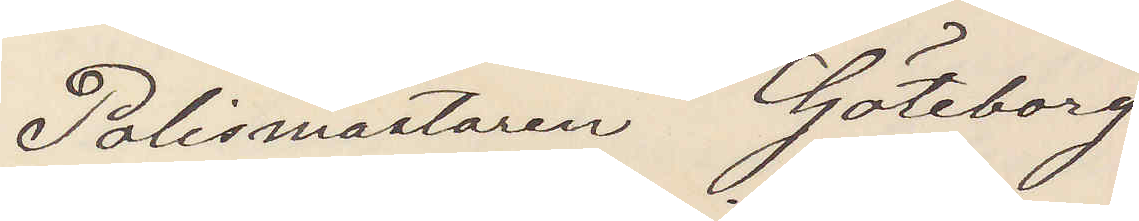Polismästaren Göteborg
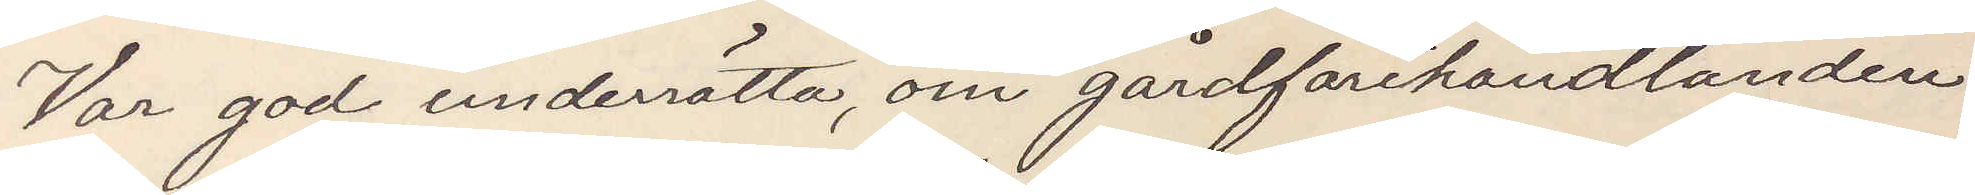Var god underrätta, om gårdfarihandlanden
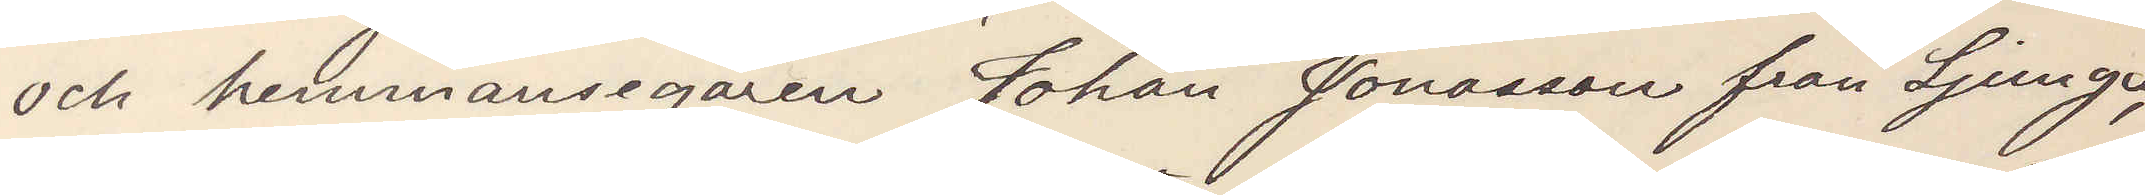och hemmansegaren Johan Jonasson från Ljunga,
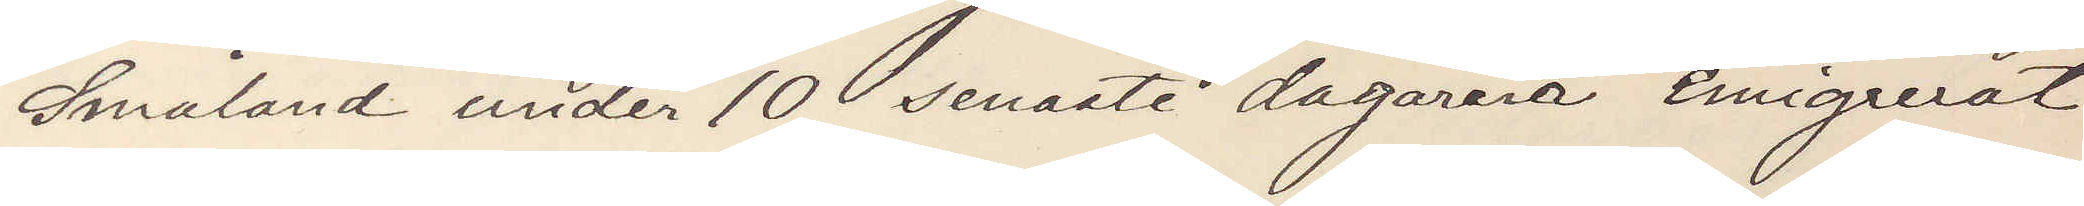Småland under 10 senaste dagarna emigrerat
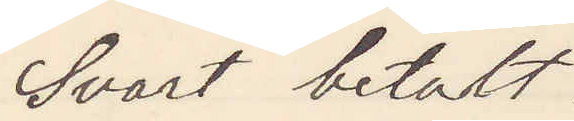Svart betalt.
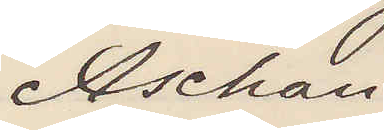Aschan
